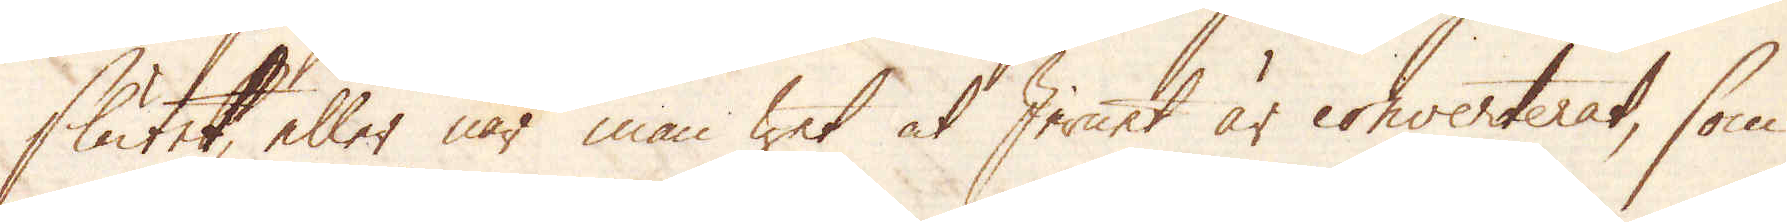slutet, eller när man wet at Jernet är converterat, som
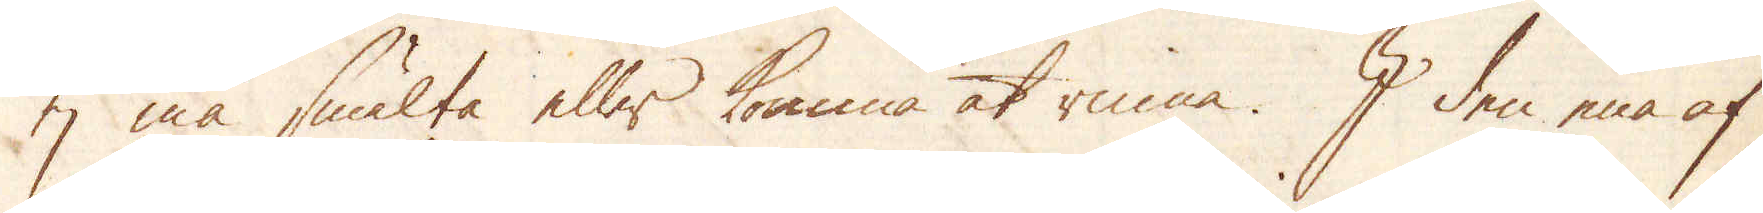ej må smälta eller komma at rinna. I den ena af
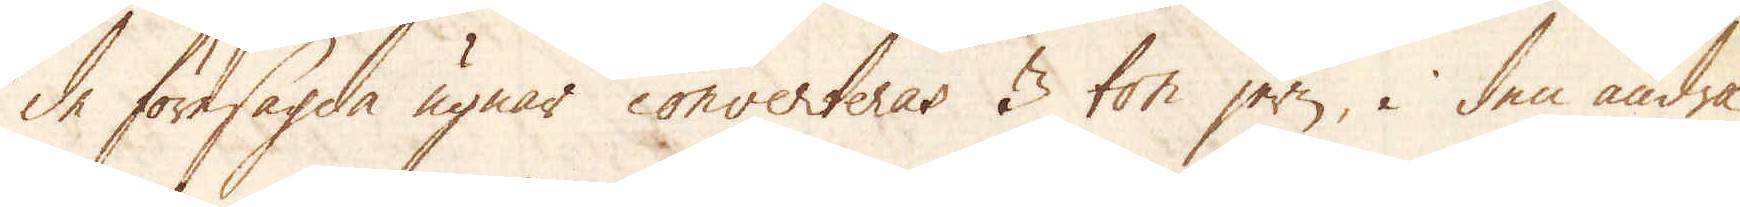de föresagda ugnar converteras 3 ton jern, i den andra
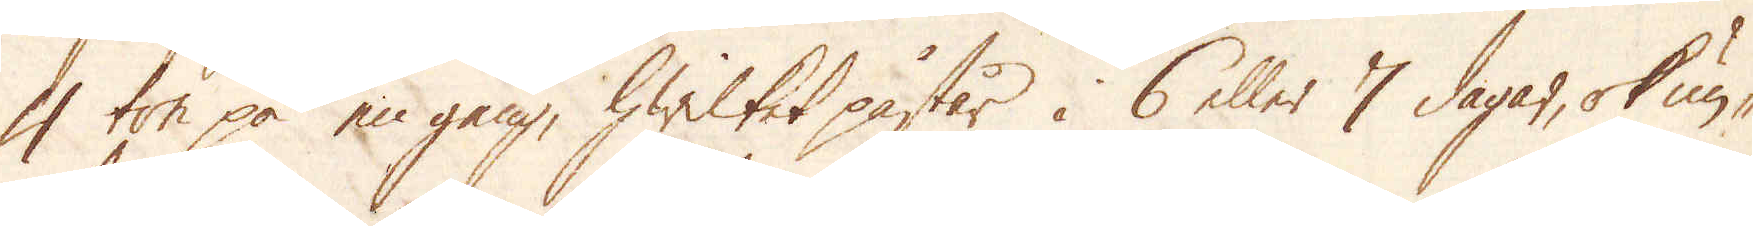4 ton på en gång, hwilket påstår i 6 eller 7 dagar, ok un-
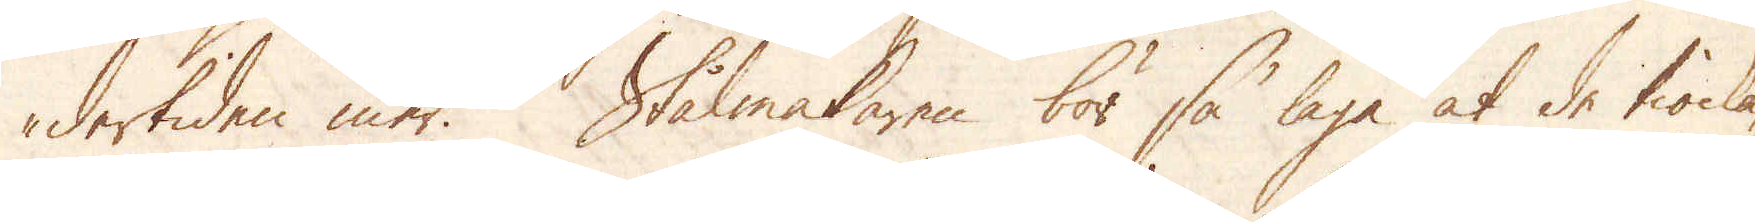dertiden mer. Stålmakaren bör så laga at de tiocka-
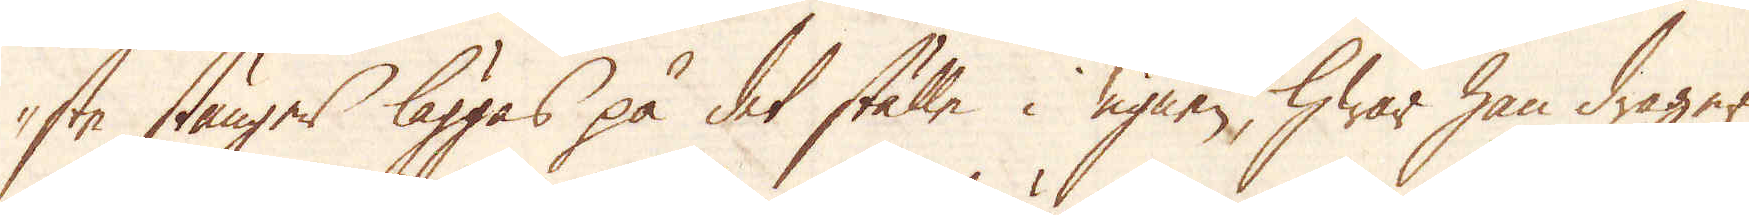ste stänger läggas på det ställe i ugnen, hwar han drager
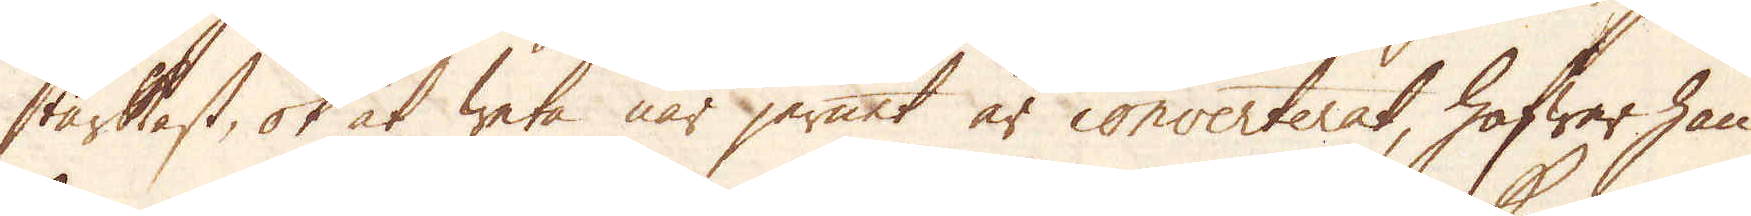starkast, ok at weta när jernet är converterat, hafwer han
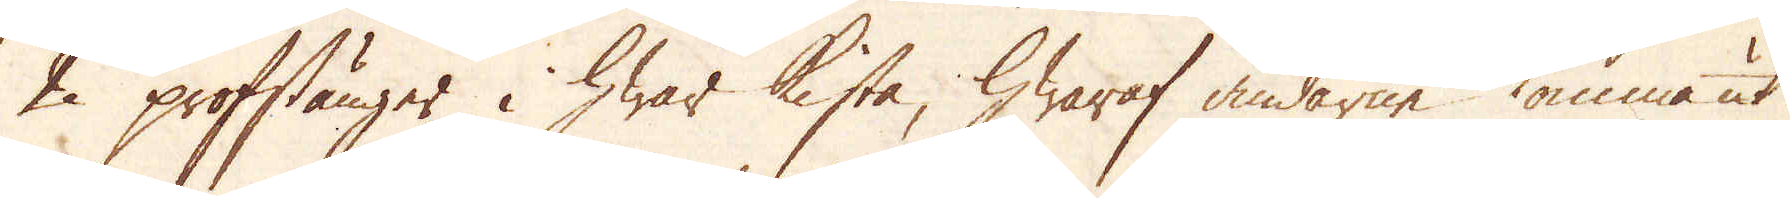2 profstänger i hwar kista, hwaraf ändarne komma ut
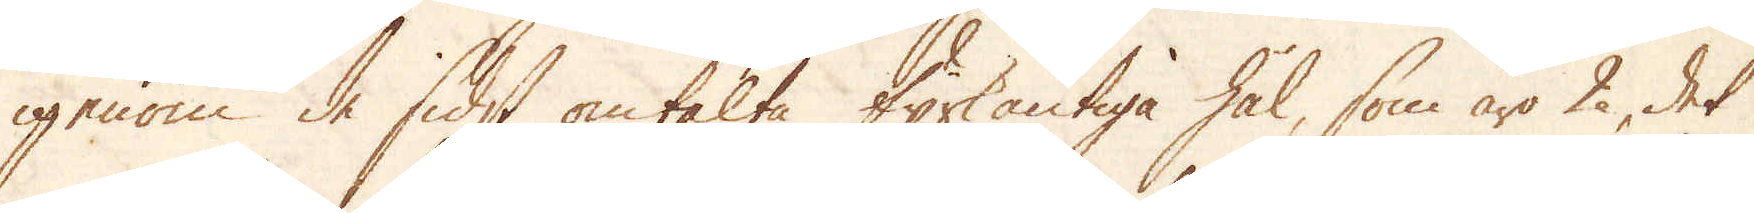igenom de sidst omtalte fyrkantiga hål, som äro 2, det
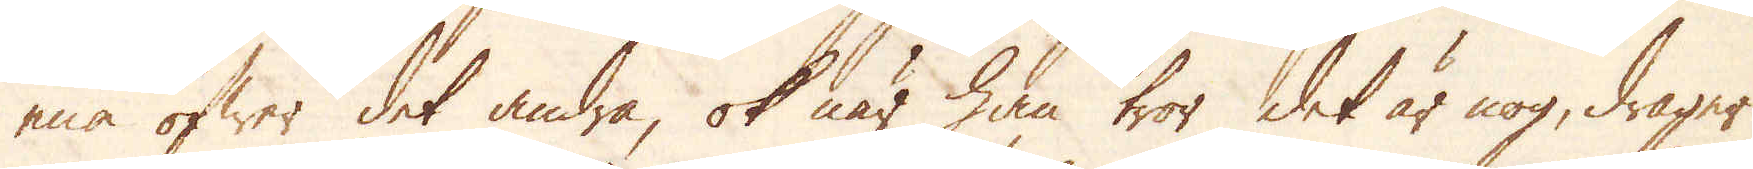ena öfwer det andra, ok när han tror det är nog, drager
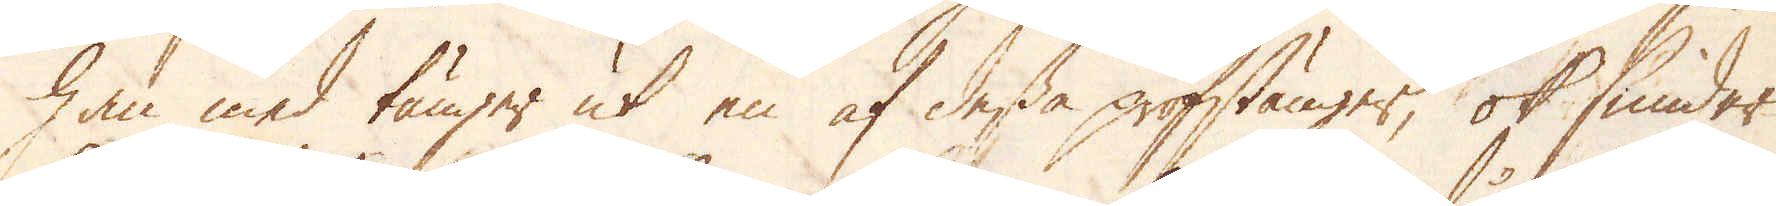han med tänger ut en af dessa profstänger, ok smider
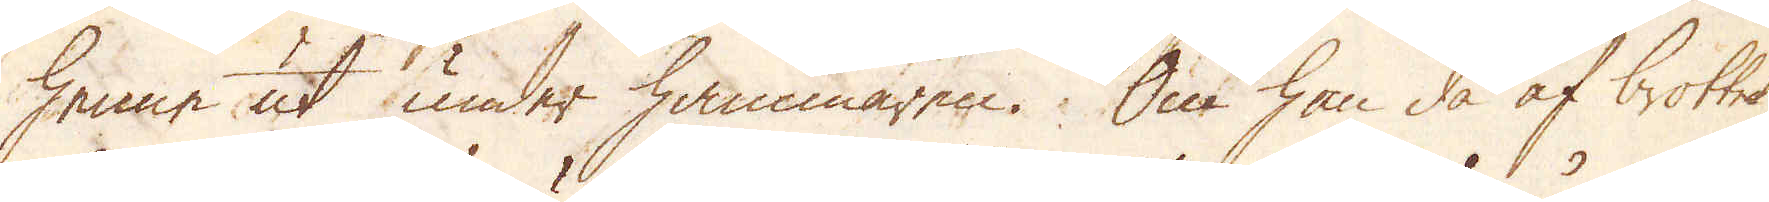henne ut under hammaren. Om han då af brottet
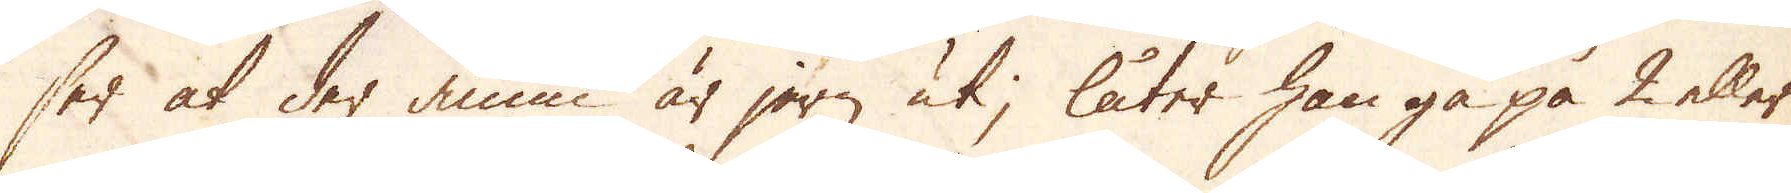ser at der ännu är jern uti, låter han gå på 2 eller
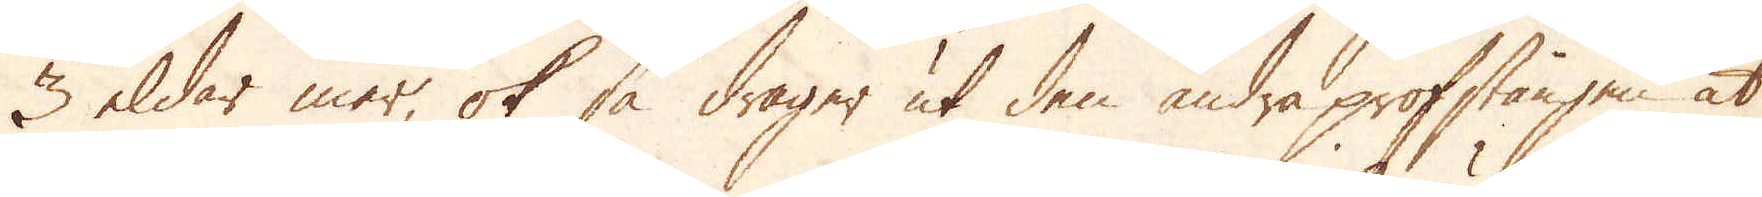3 eldar mer, ok så drager ut den andra profstången at
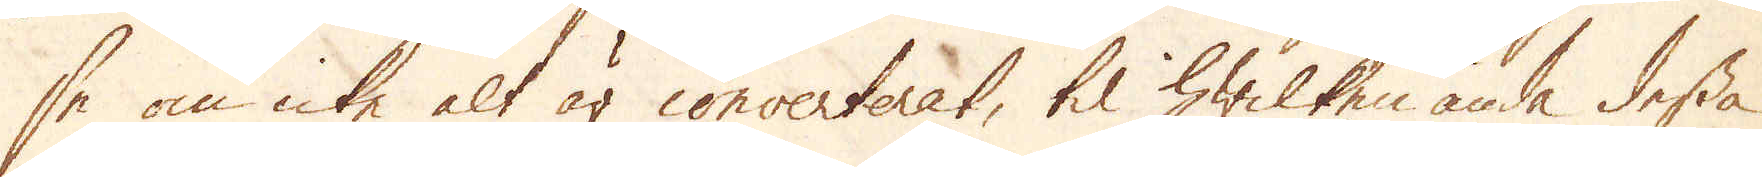se om icke alt är converterat, til hwilken ända dessa
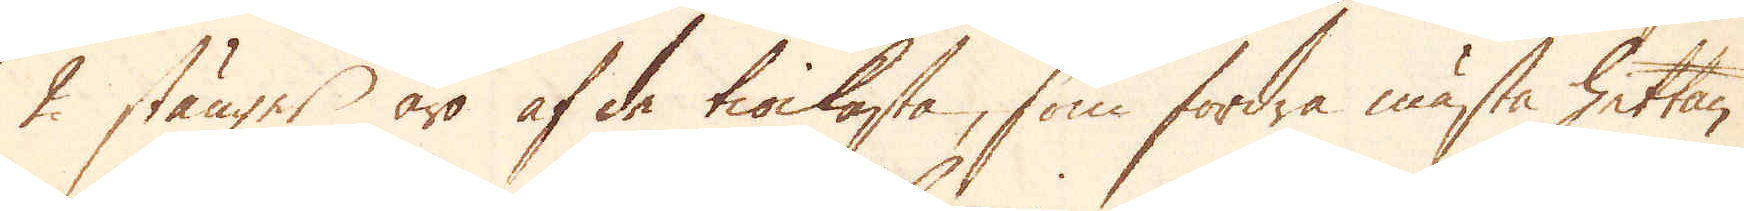2 stänger äro af de tiockaste, som fordra mästa hettan.
